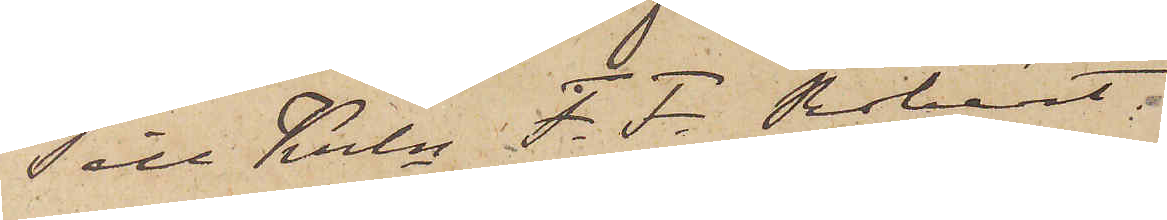Till Krln F. F. Robért.
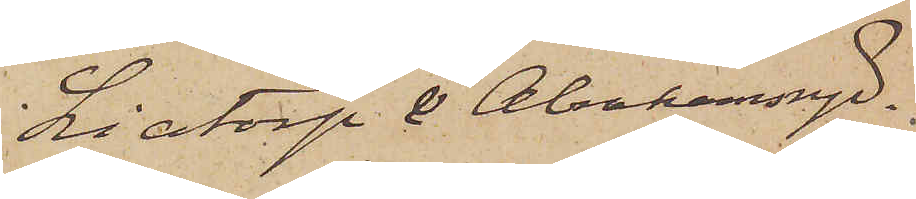Liatorp & Abrahamsryd.
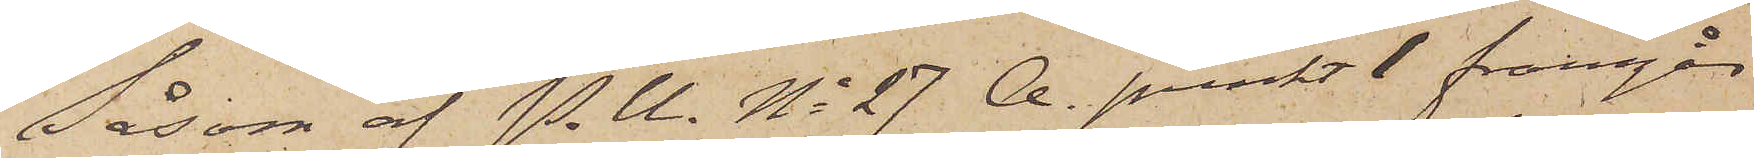Såsom af P.U. No 27 A. punkt 1 framgår
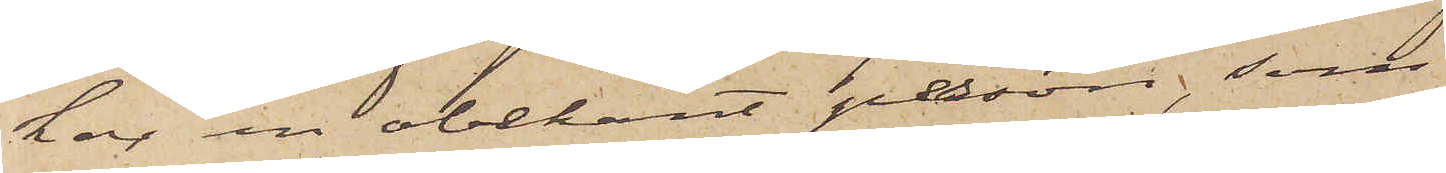har en obekant person, som
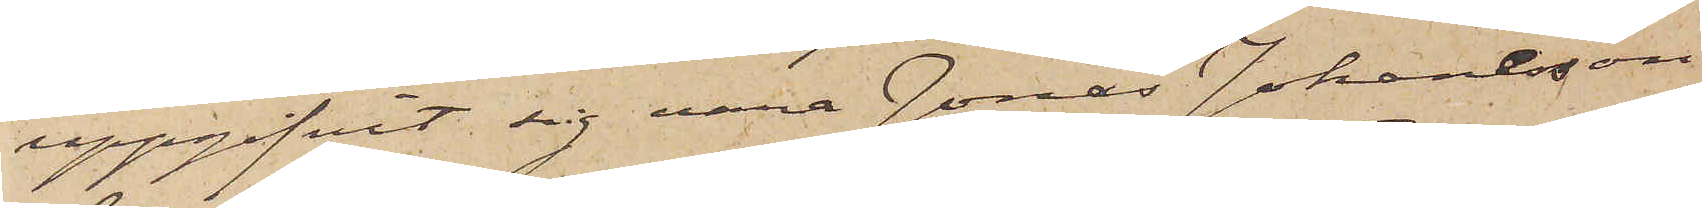uppgifvit sig vara Jonas Johansson
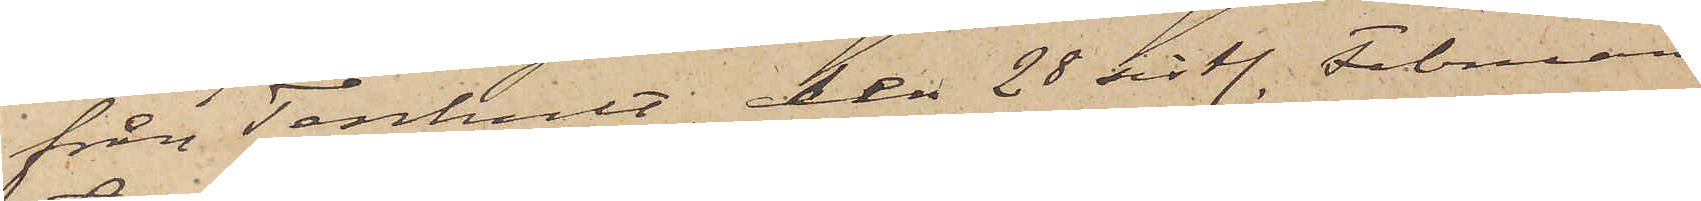från Tenhult, den 28 sistl. Februari
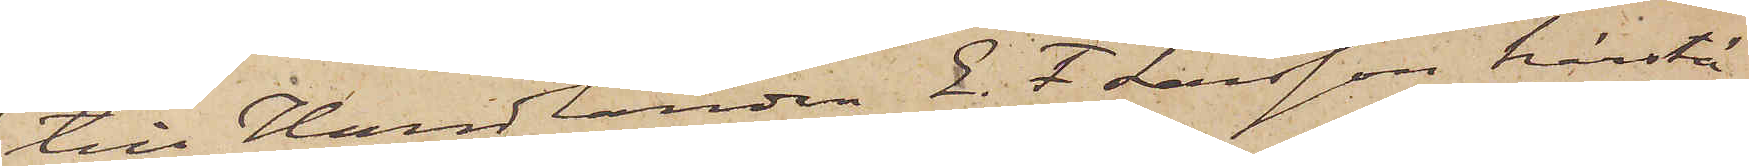till Handlanden E. F. Larsson härstä¬
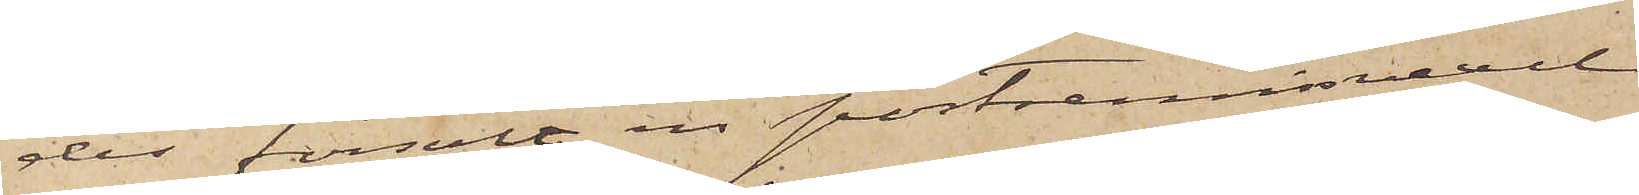des försålt en postremissvexel
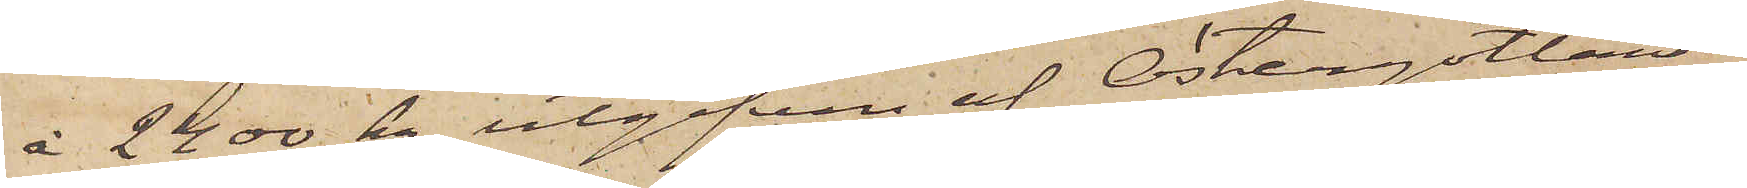à 2400 kr, utgifven af Östergötlands
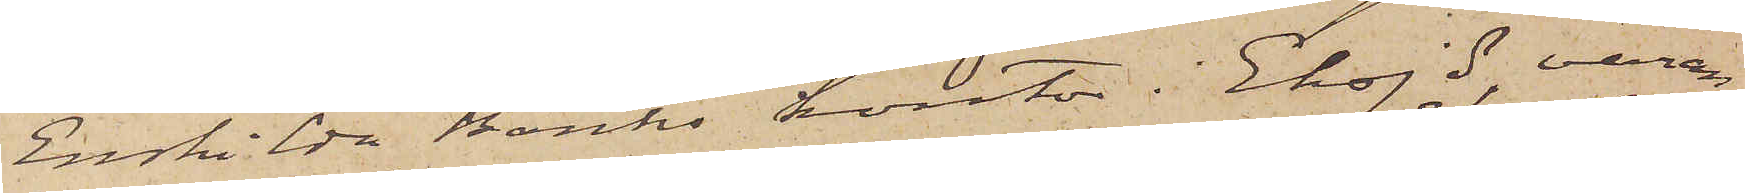Enskilda Banks kontor i Eksjö, varan¬
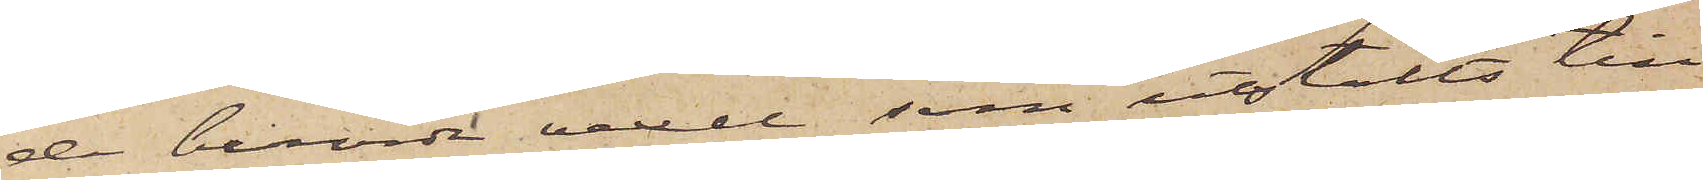de berörde vexel, som utstälts till
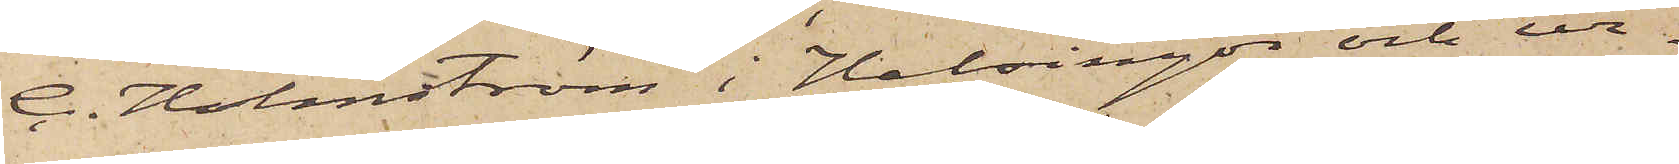C. Holmström i Helsingör och ur¬
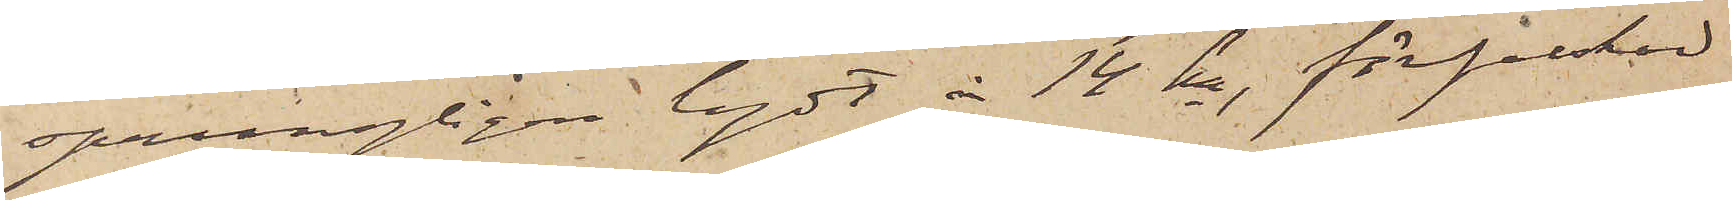sprungligen lydt å 14 kr, förfalskad
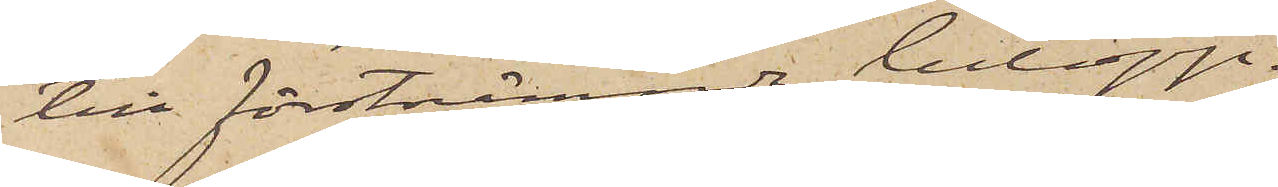till förstnämnda belopp.
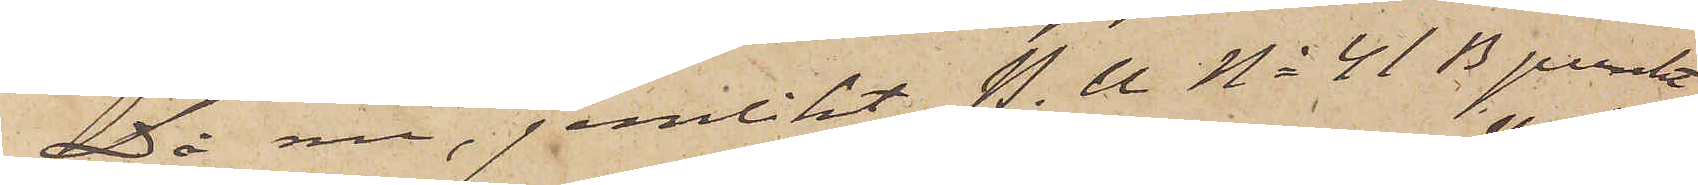Då nu, jemlikt P.U. No 41 B punkt
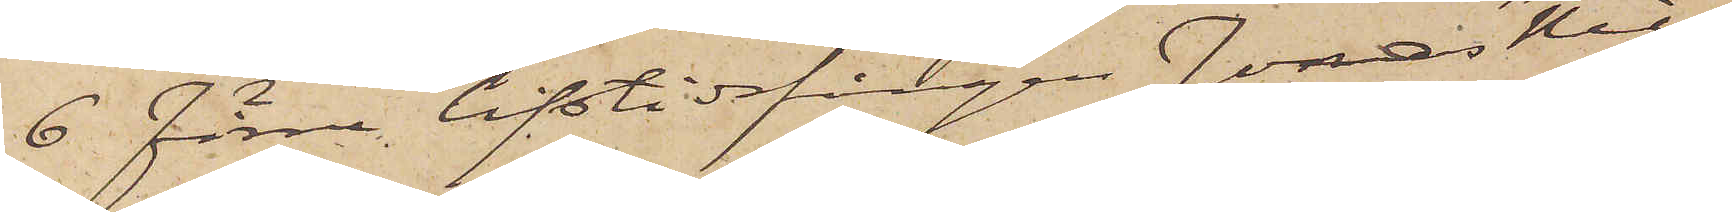6 Förre lifstidsfången Jonas Nils¬
